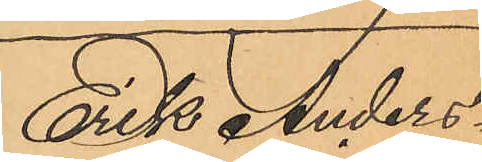Erik Anders¬
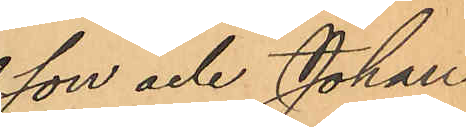son och Johan
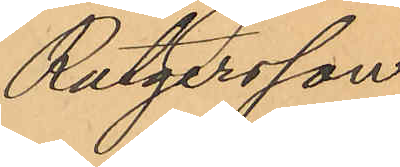Rutgersson.
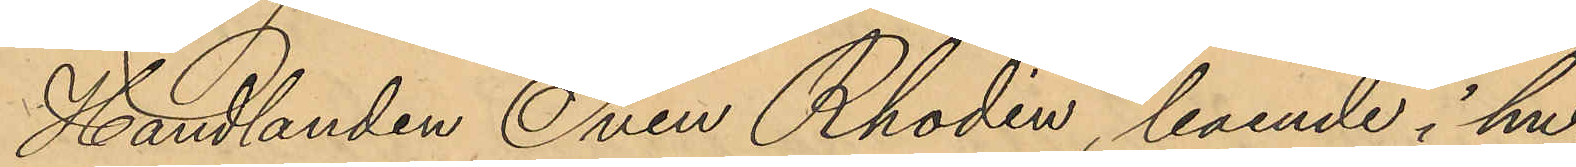Handlanden Sven Rhodin, boende i hu¬
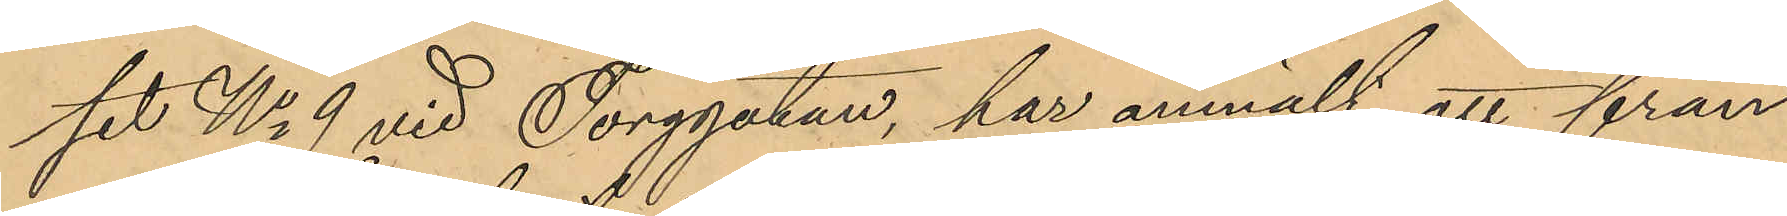set No 9 vid Torggatan, har anmält, att från
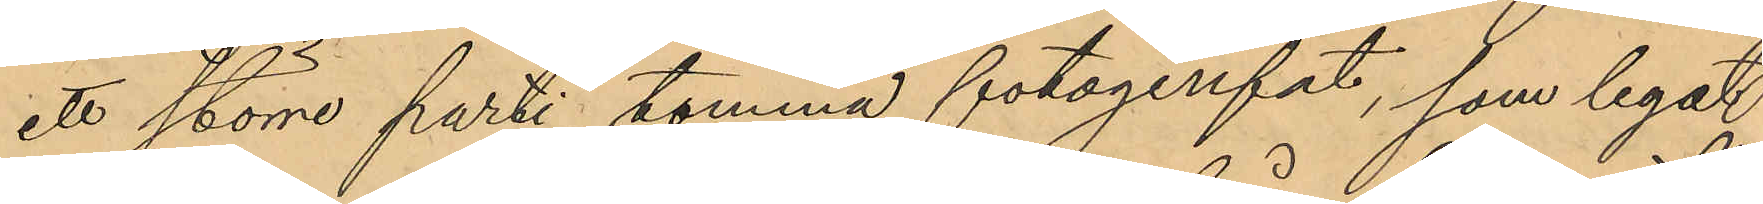ett större parti tomma fotogénfat, som legat
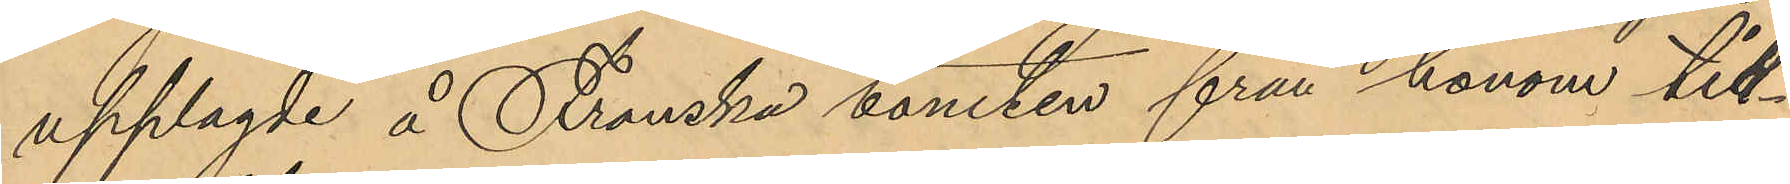upplagde å Franska tomten från honom till¬
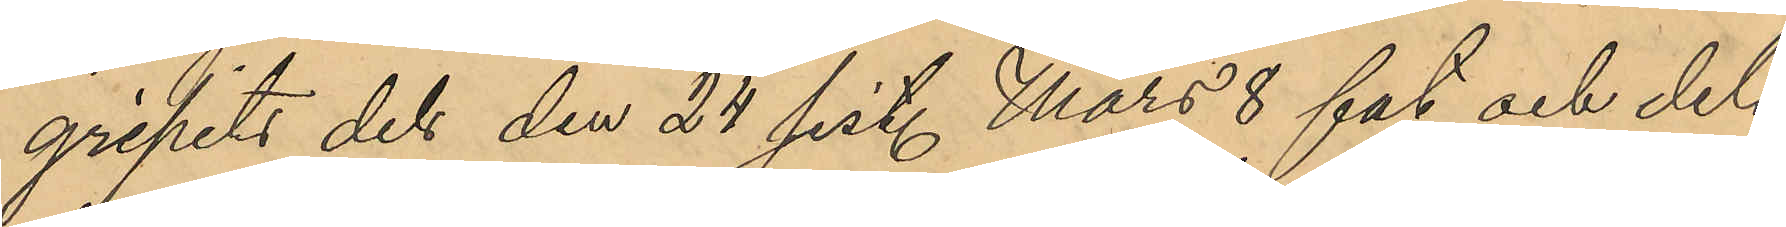gripits dels den 24 sist. Mars 8 fat och dels
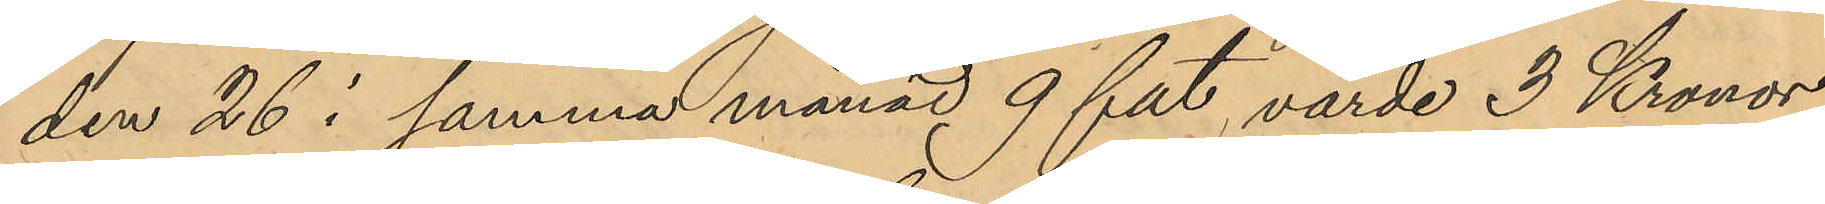den 26 i samma månad 9 fat, värde 3 Kronor
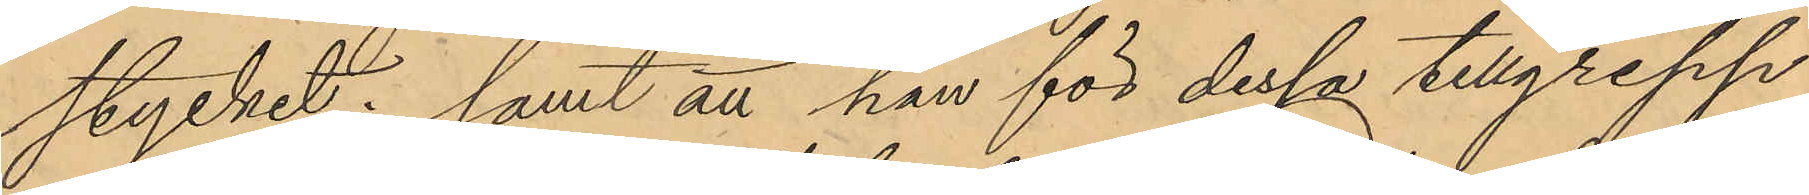stycket; samt att han för dessa tillgrepp
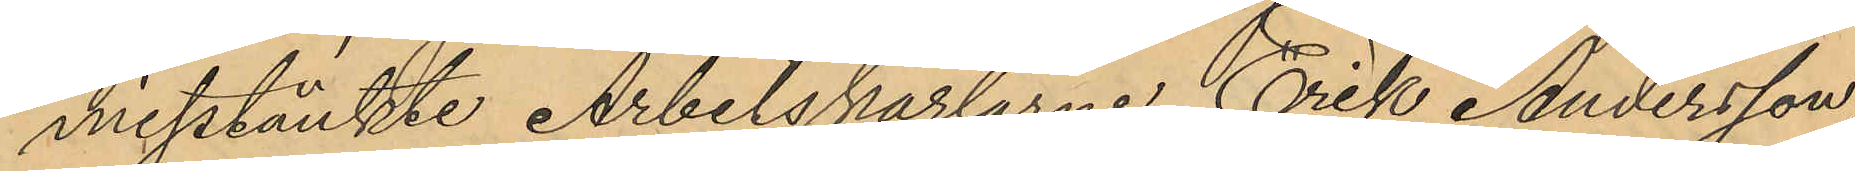misstänkte Arbetskarlarne Erik Andersson,
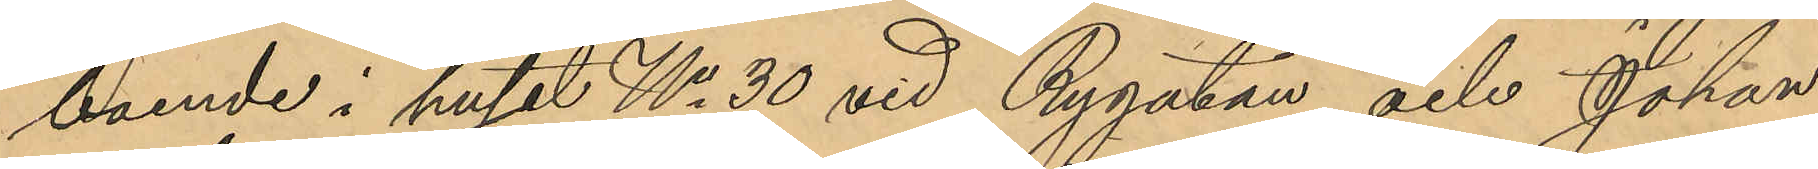boende i huset No 30 vid Rygatan och Johan
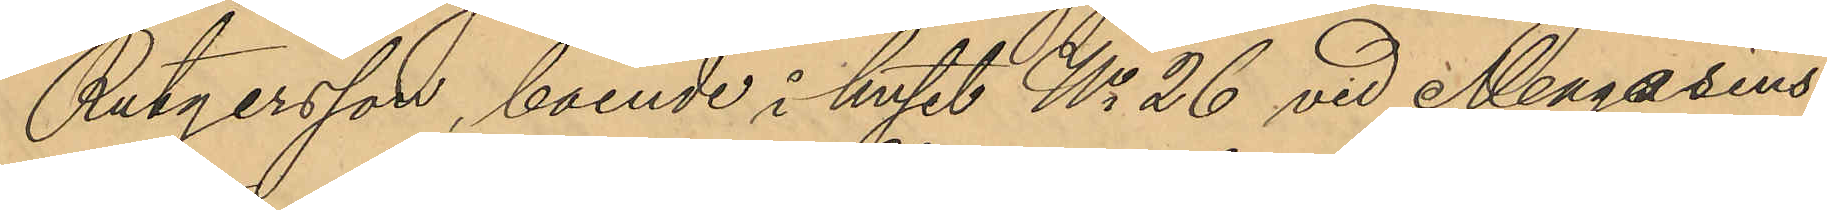Rutgersson, boende i huset No 26 vid Magasins¬
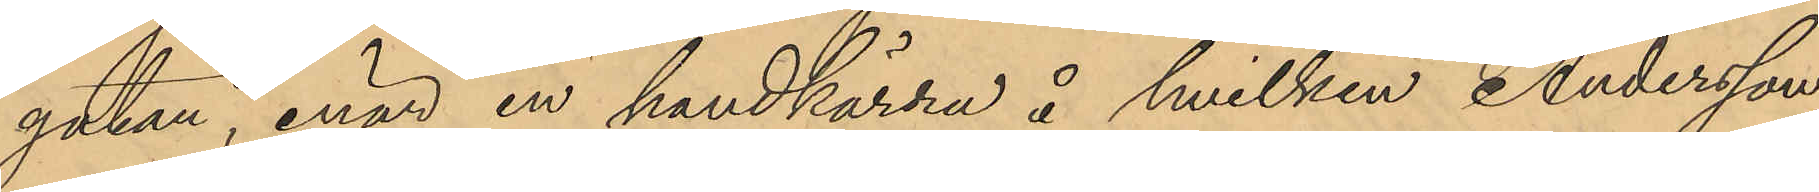gatan, enär en handkärra å hvilken Andersson
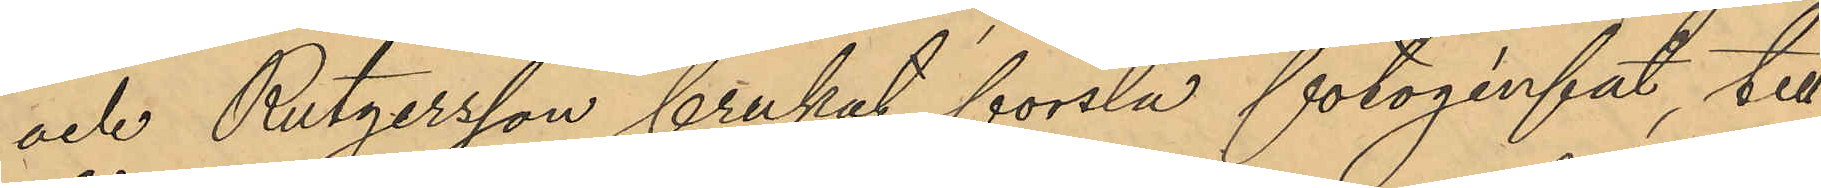och Rutgersson brukat forsla fotogénfat, till¬
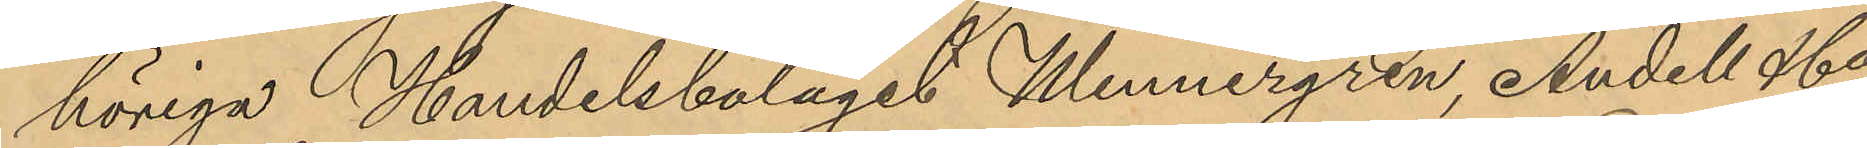höriga Handelsbolaget Wennergren Andell & Co,
